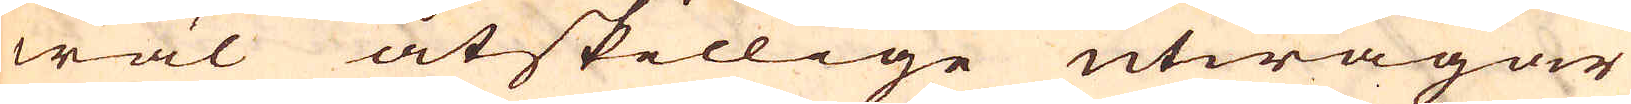wäl åtskillige utwägar
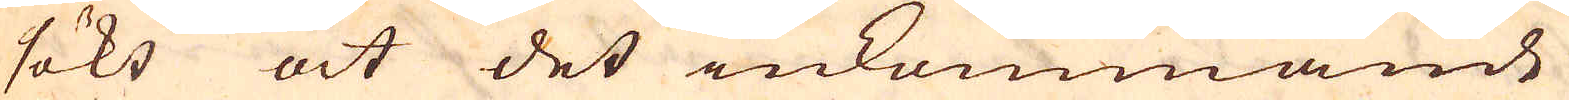sökt at det inkommande
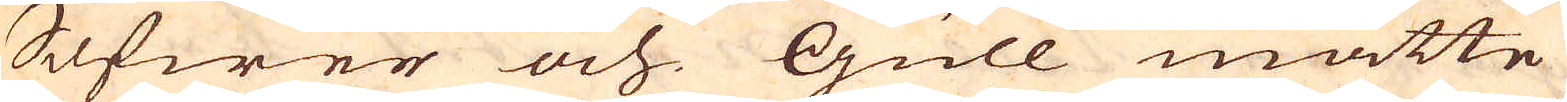Silfwer och Gull måtte
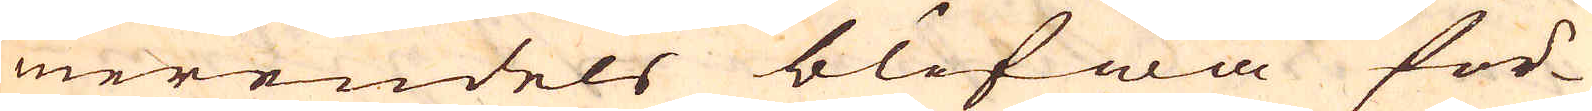merendels blifwa för-
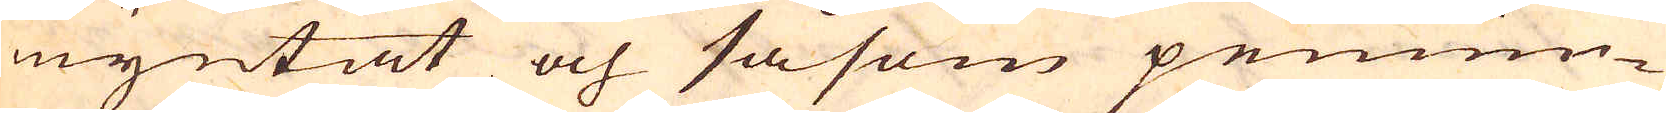myntat och såsom pennin-
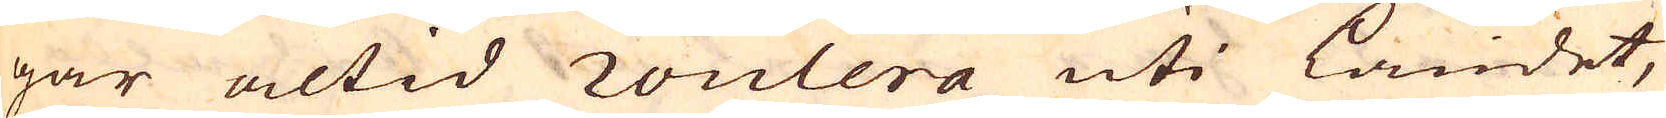gar altid roulera uti Landet,
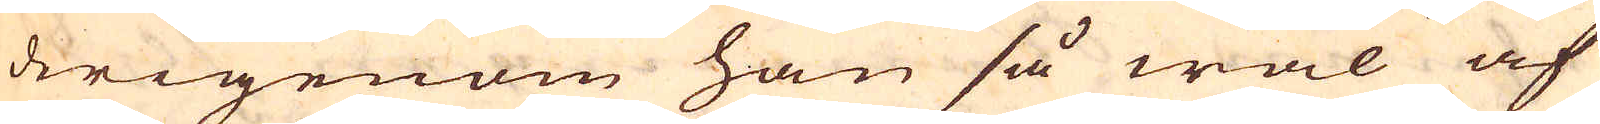derigenom han så wäl af
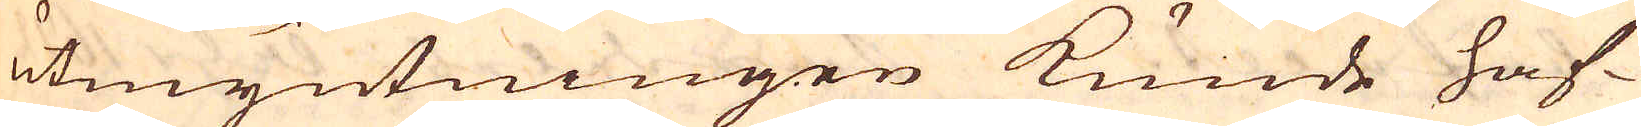utmyntningen kunde haf-
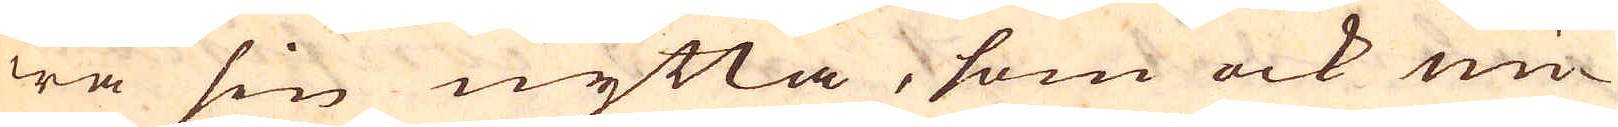wa sin nytta, som ock un-
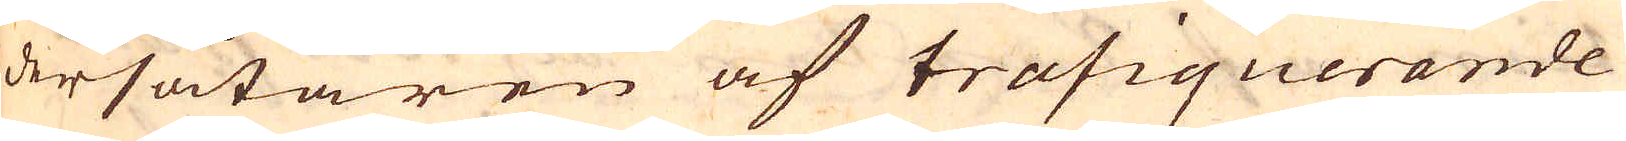dersåtaren af trafiquerande
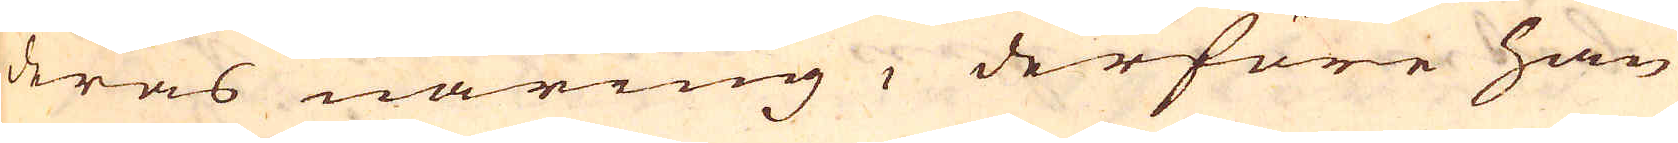deras näring, derföre han
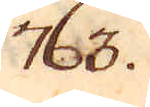763.
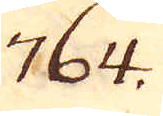764.
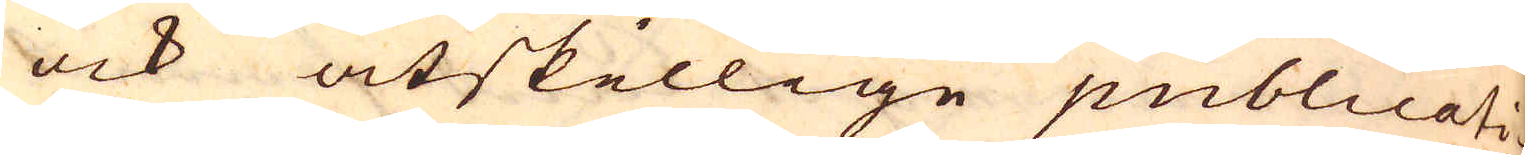ock åtskillige publicati-
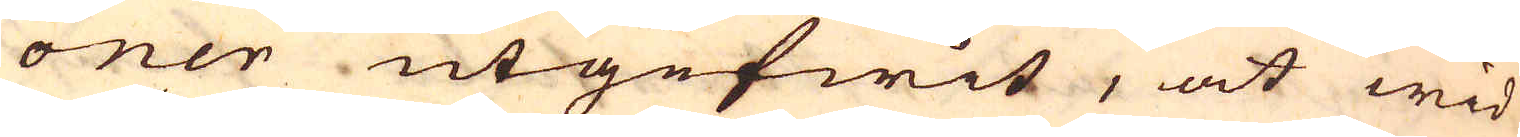oner utgefwit, at wid
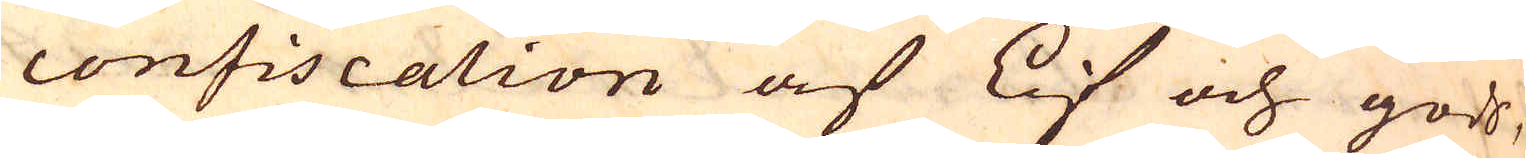confiscation af Lif och gods,
